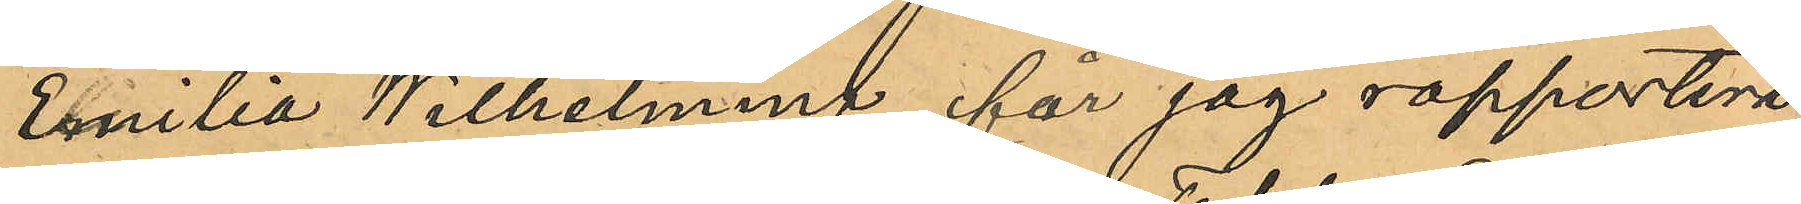Emilia Wilhelmina får jag rapportera,
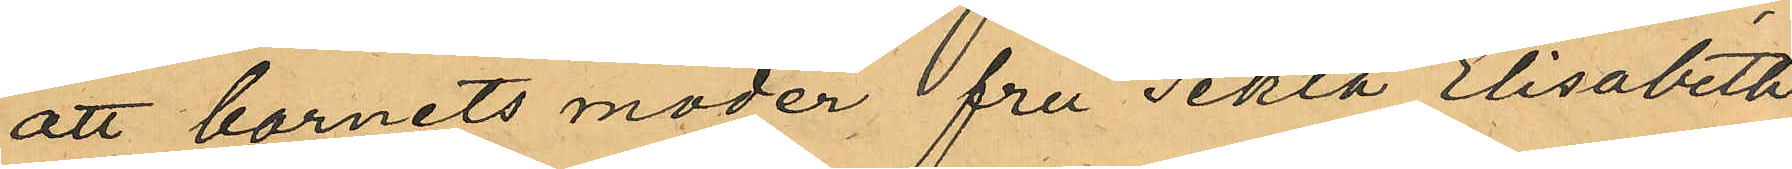att barnets moder fru Tekla Elisabeth
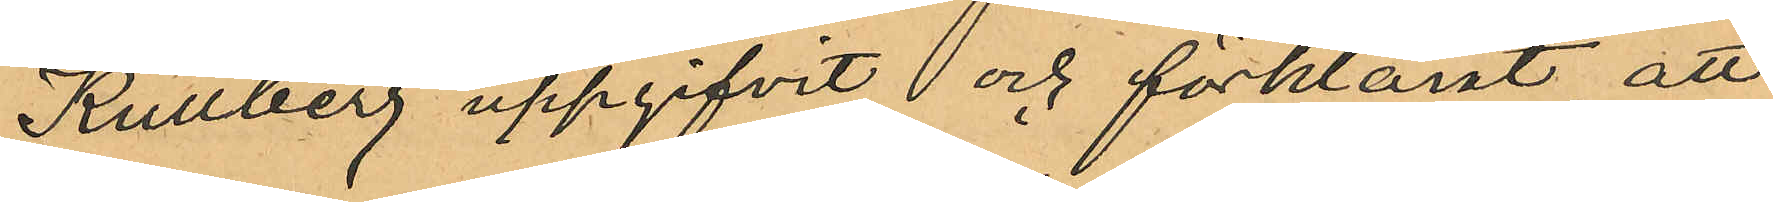Kullberg uppgifvit och förklarat, att
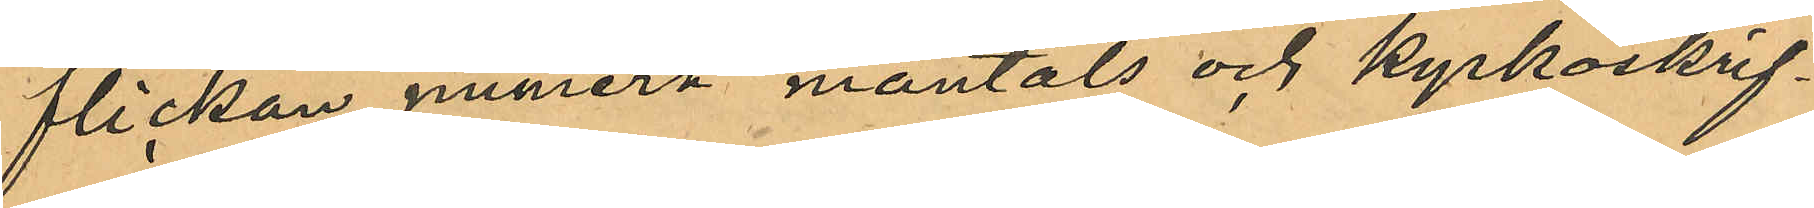flickan numera mantals och kyrkoskrif¬
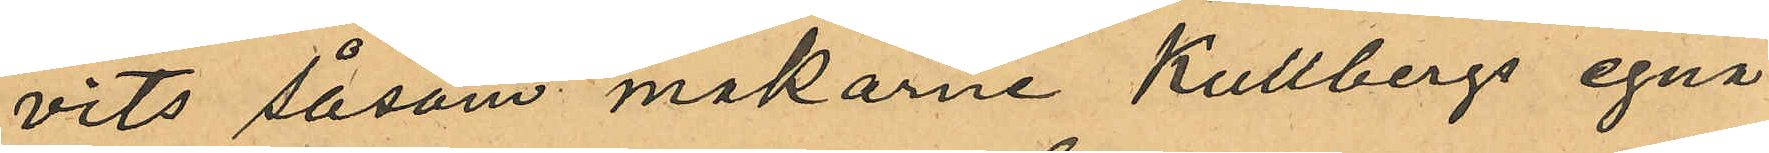vits såsom makarne Kullbergs egna
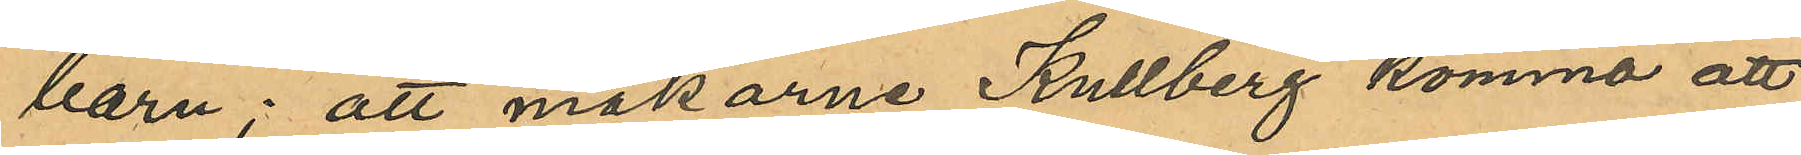barn; att makarne Kullberg komma att
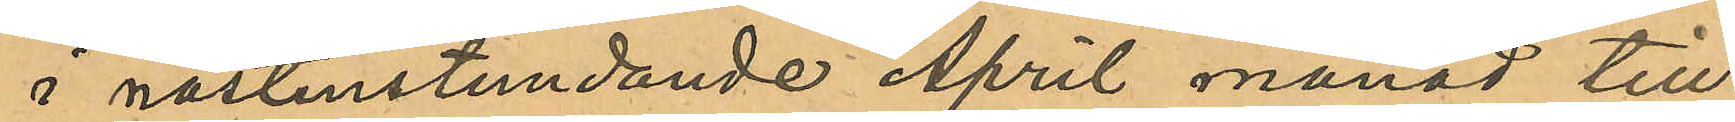i nästinstundande April månad till
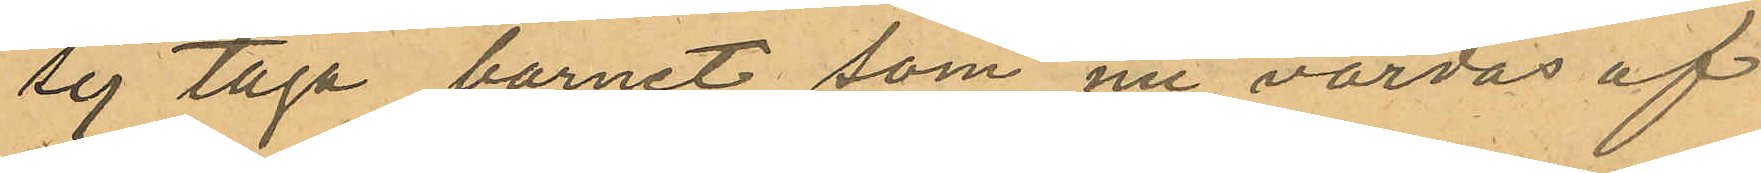sig taga barnet, som nu vårdas af
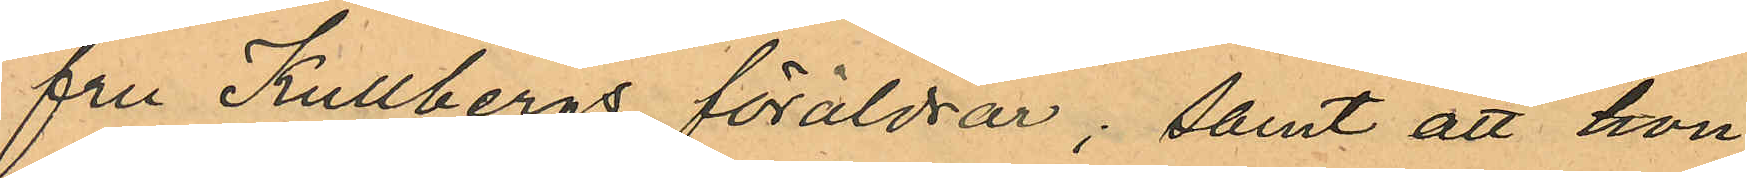fru Kullbergs föräldrar; samt att hon
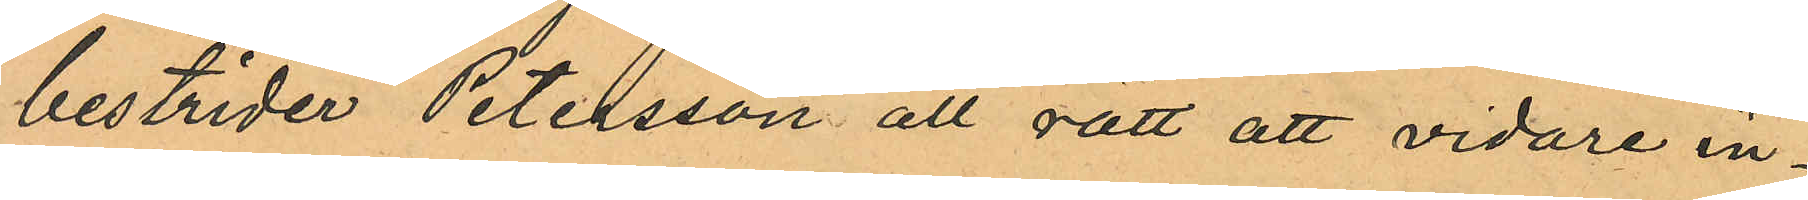bestrider Petersson all rätt att vidare in¬
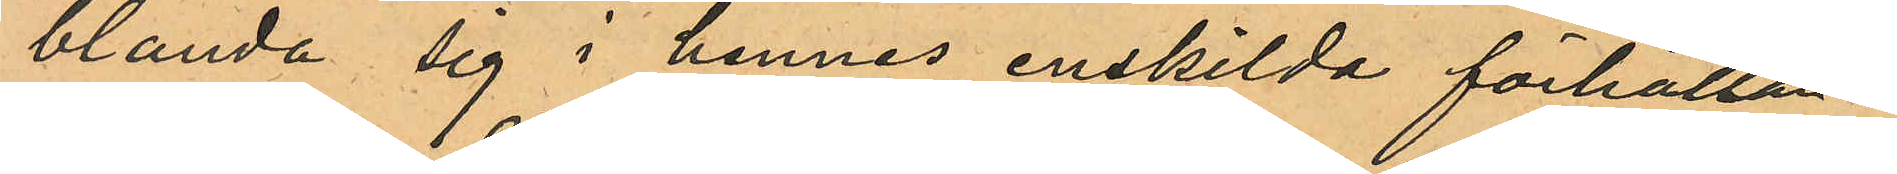blanda sig i hennes enskilda förhållan¬
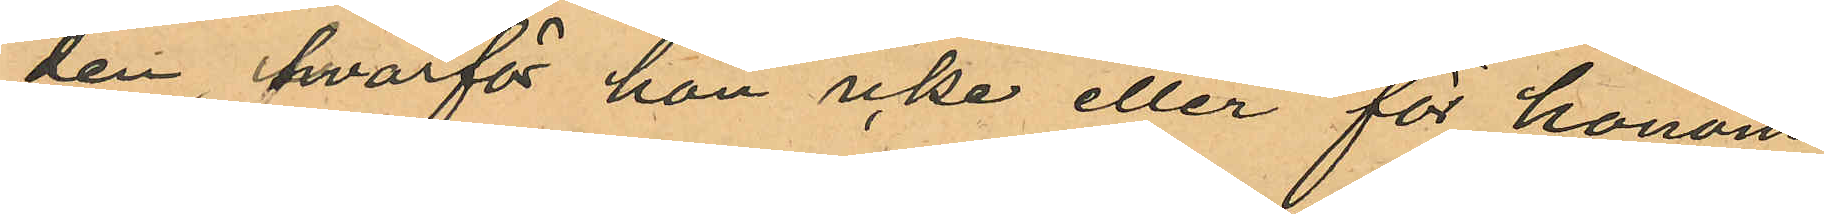den, hvarför hon icke eller för honom
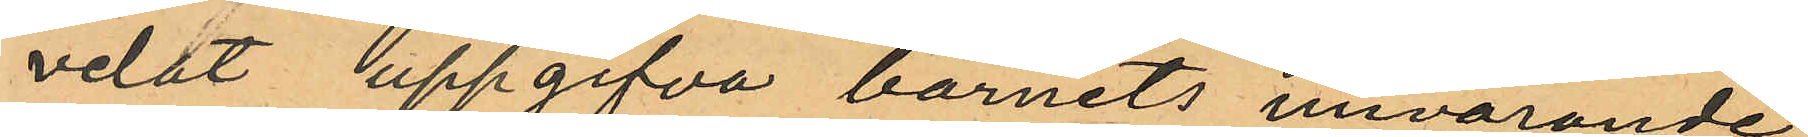velat uppgifva barnits nuvarande
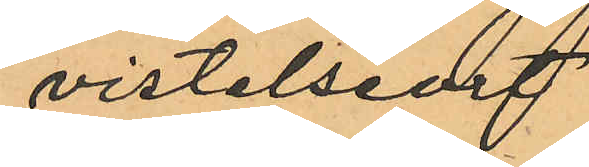vistelseort.
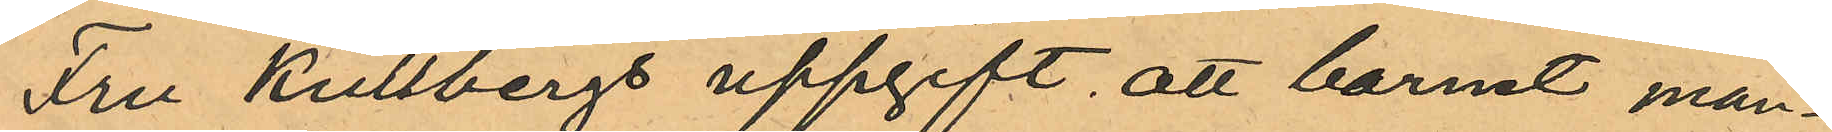Fru Kullbergs uppgift att barnet man¬
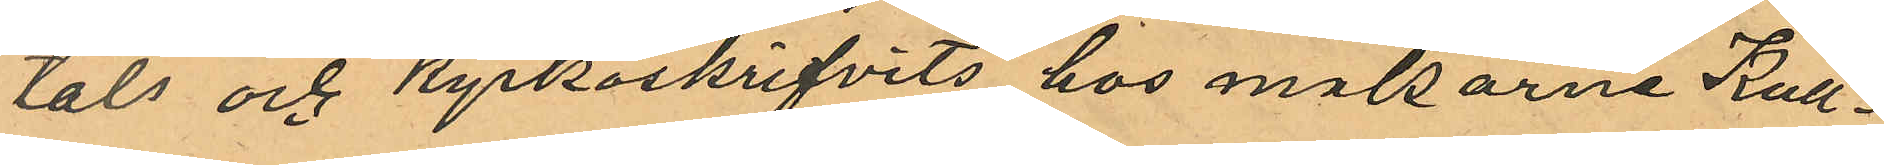tals och kyrkoskrifvits hos makarne Kull¬
